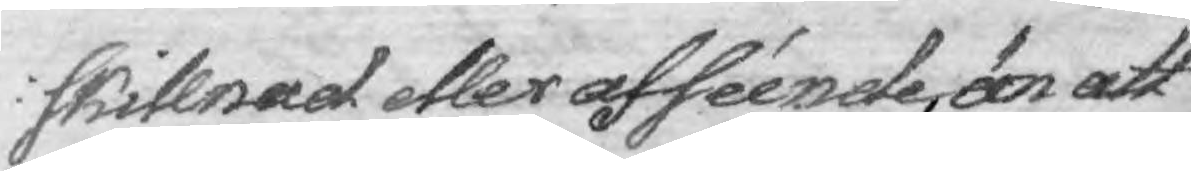skillnad eller afséende, än att
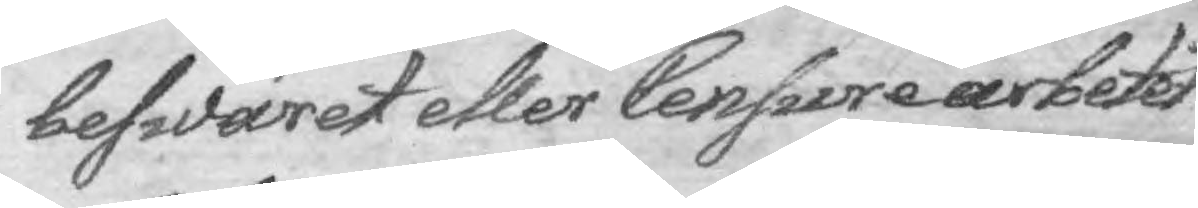beswäret eller Censure arbetet
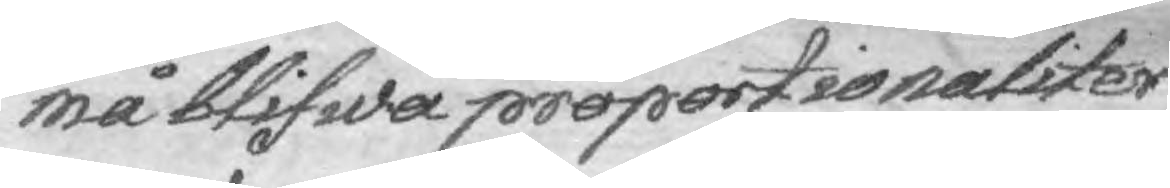må blifwa proportionaliter
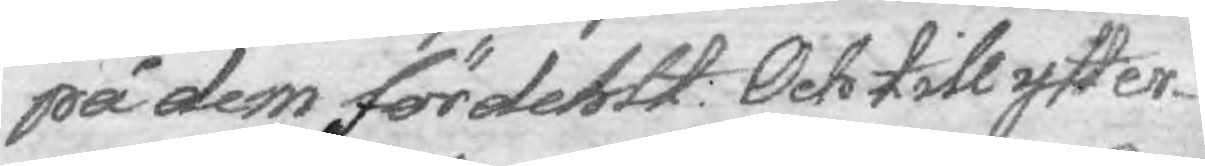på dem fördehlt: Och till ytter¬
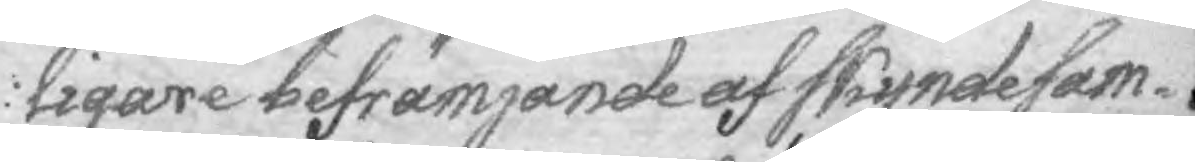ligare befrämjande af skyndesam¬
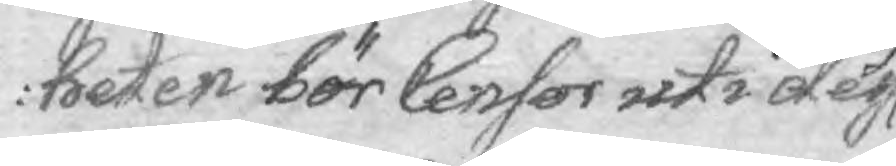heten bör Censor uti des 
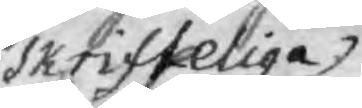skrifteliga
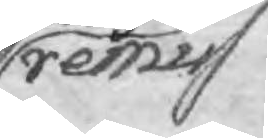remiss
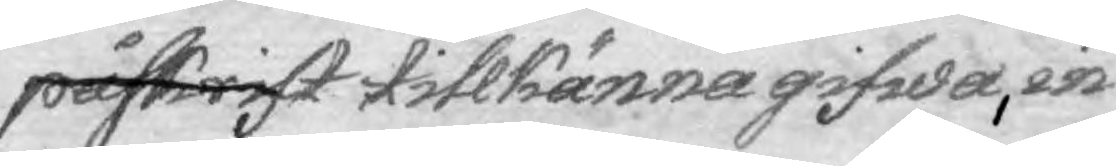påskrift tillkänna gifwa, in¬
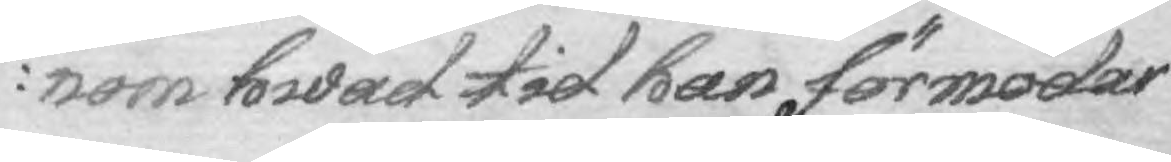nom hwad tid han förmodar
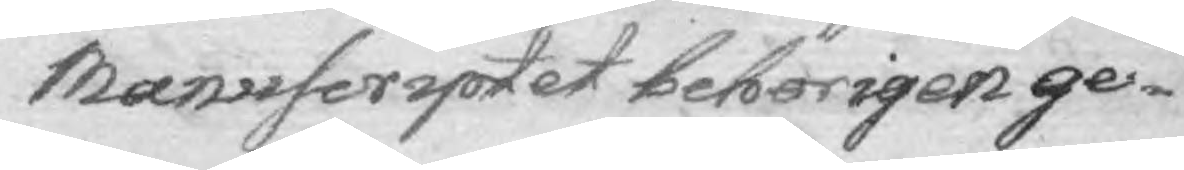Manuscriptet behörigen ge¬
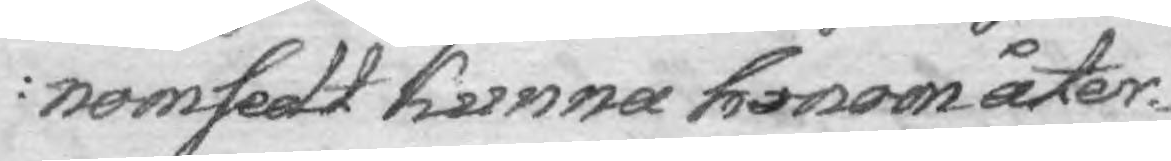nomsedt kunna honom åter¬
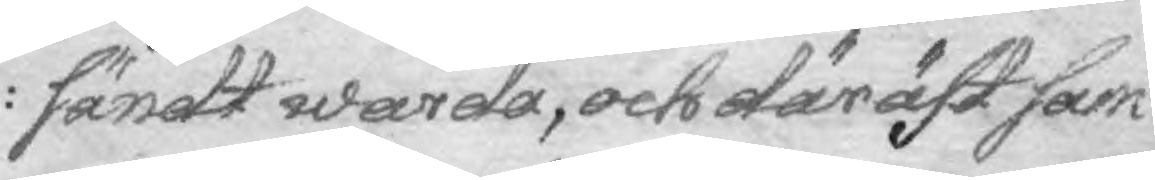sändt warda, och där äft sam¬
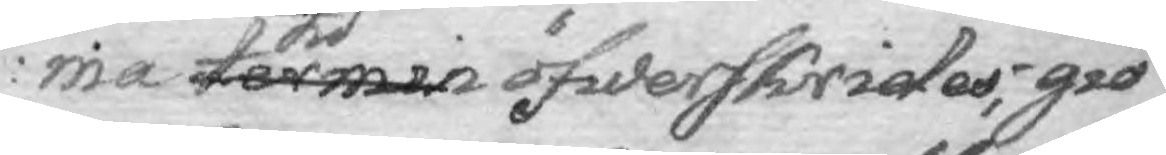ma termin tid öfwerskrides; giö¬
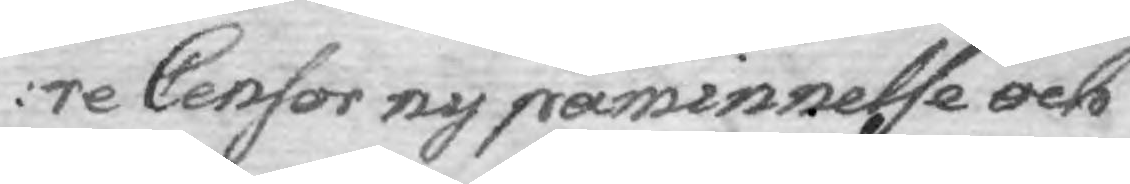re Censor ny påminnelse och
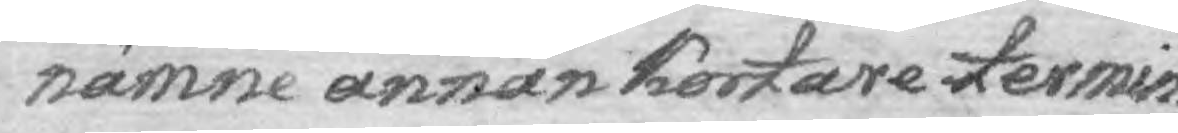nämne annan kortare termin.
